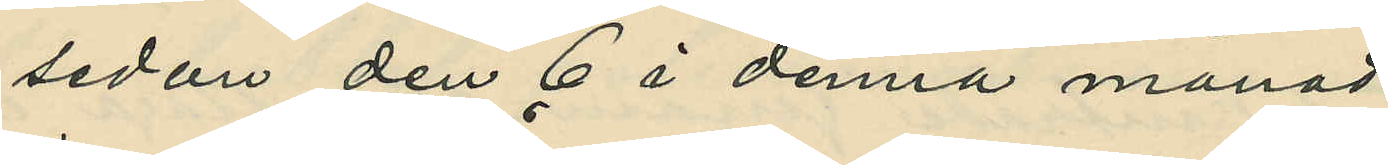sedan den 6 i denna månad
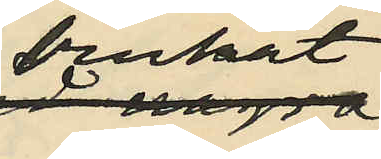brukat
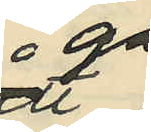gå
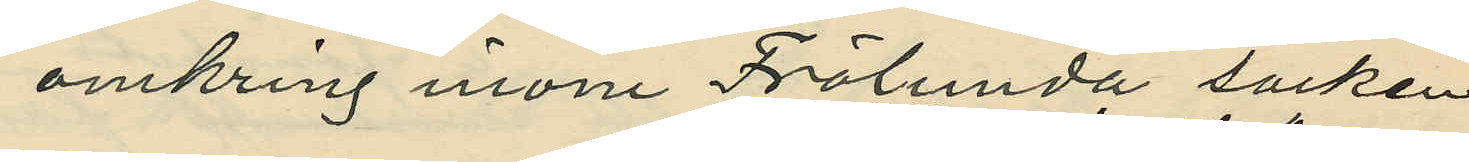omkring inom Frölunda socken
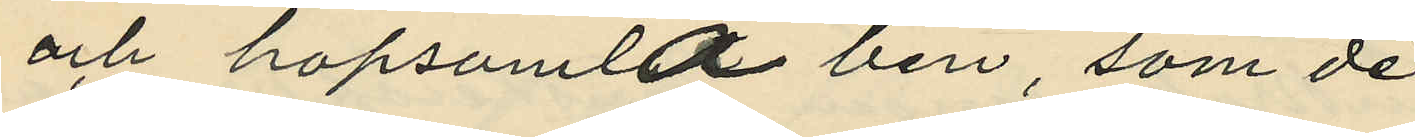och hopsamla ben, som de
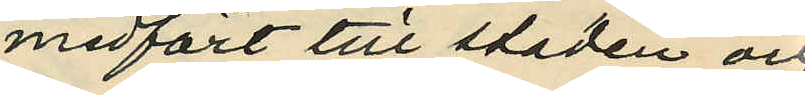medfört till staden och
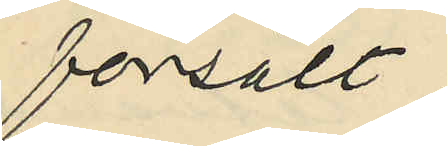försålt:
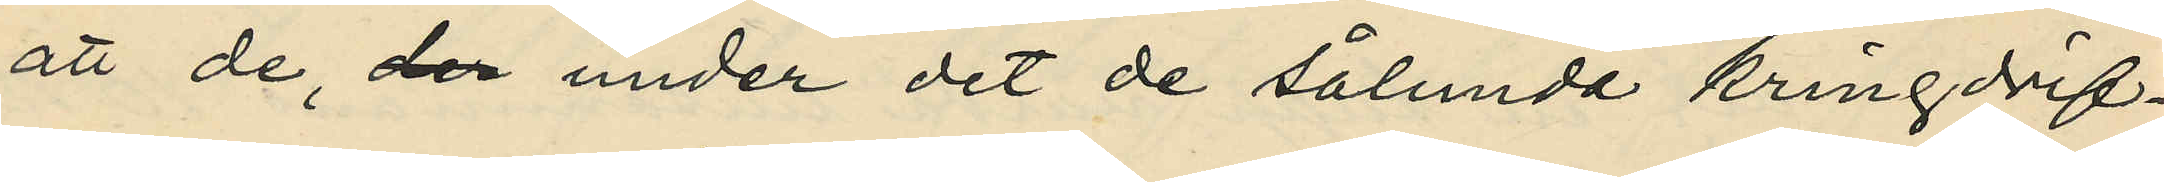att de, der under det de sålunda kringdrif¬
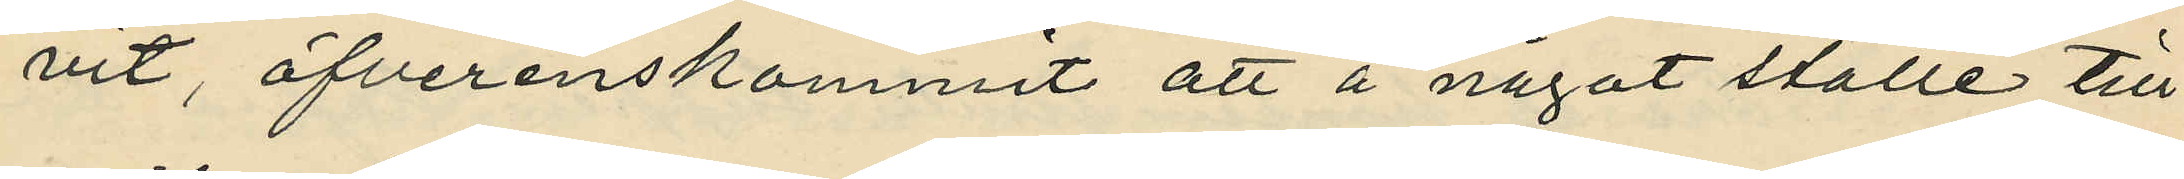vit, öfverenskommit att å något ställe till¬
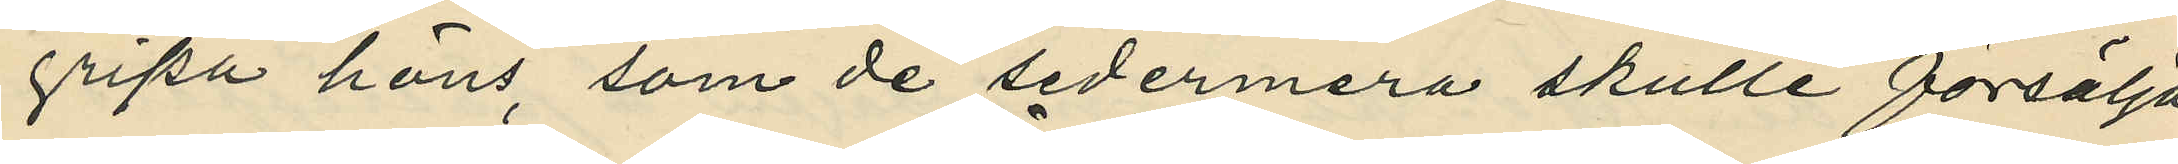gripa höns, som de sedermera skulle försälja
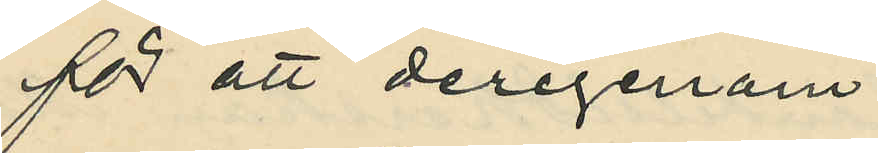för att derigenom
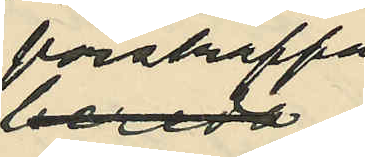förskraffa
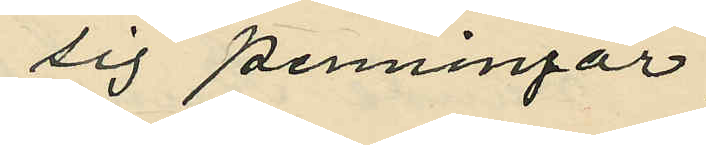sig penningar:
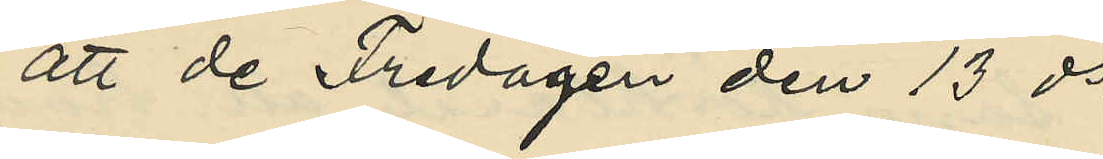att de Fredagen den 13 ds
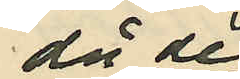då de
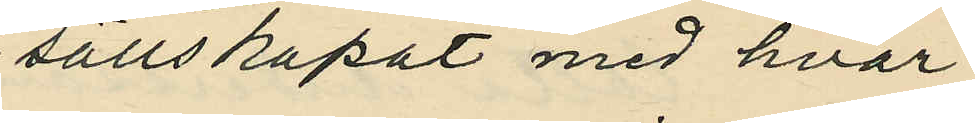sällskapat med hvar¬
